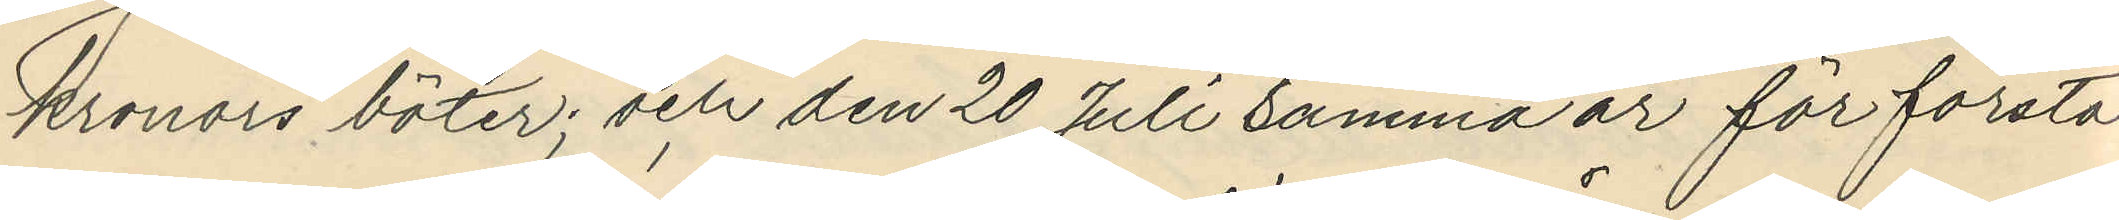kronors böter; och den 20 Juli samma år för första
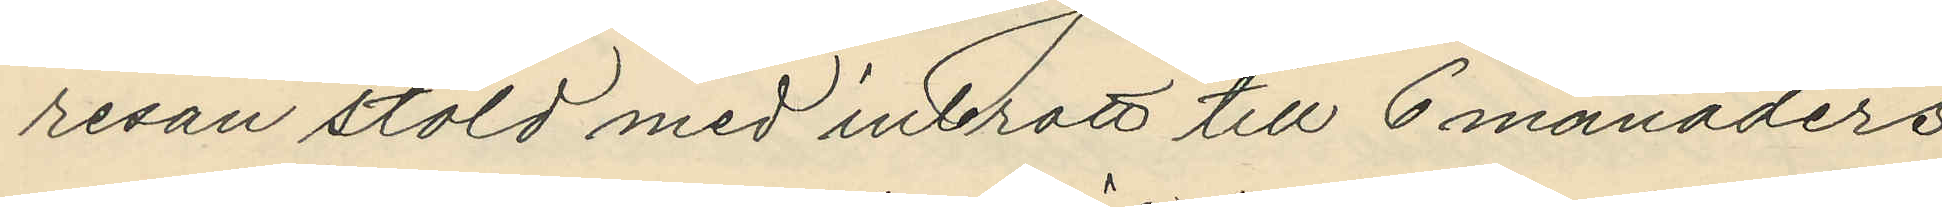resan stöld med inbrott till 6 månaders
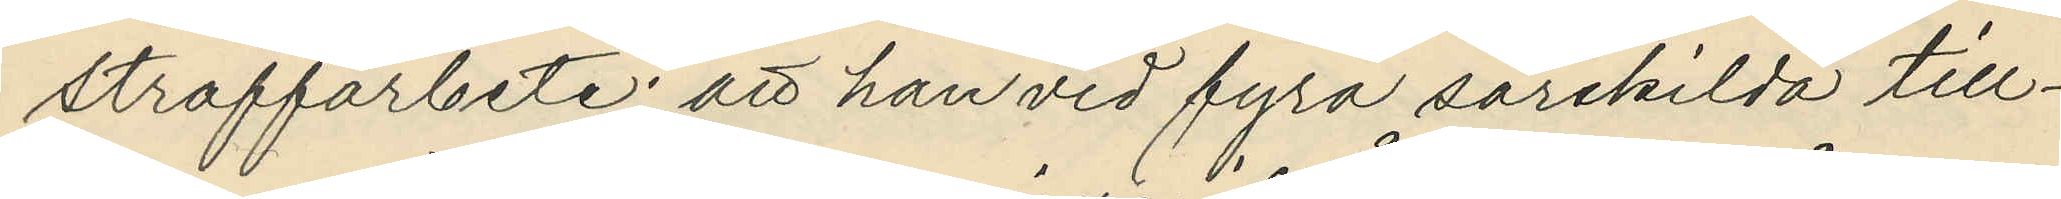straffarbete; att han vid fyra särskilda till¬
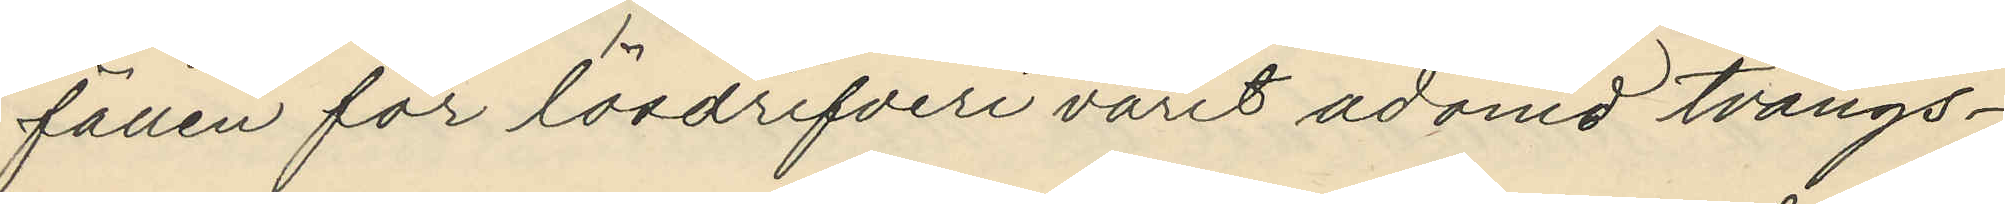fällen för lösdrifveri varit ådömd tvångs¬
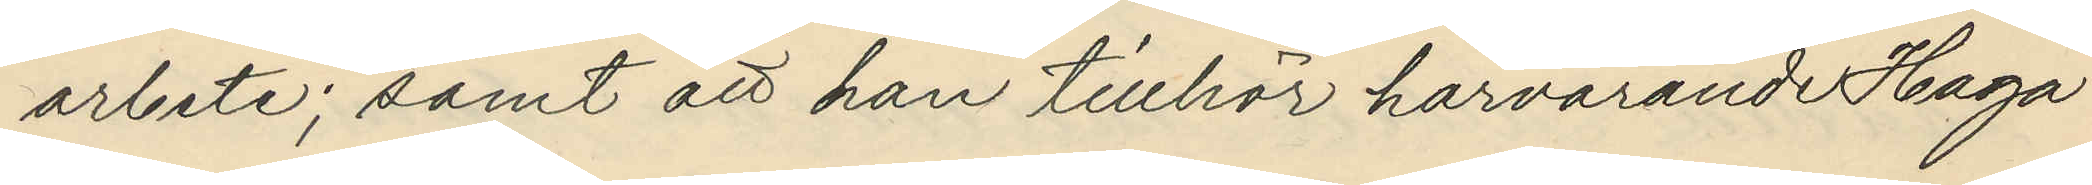arbete; samt att han tillhör harvarande Haga
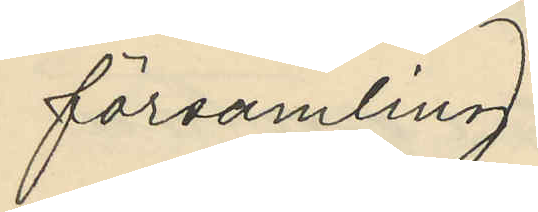församling.
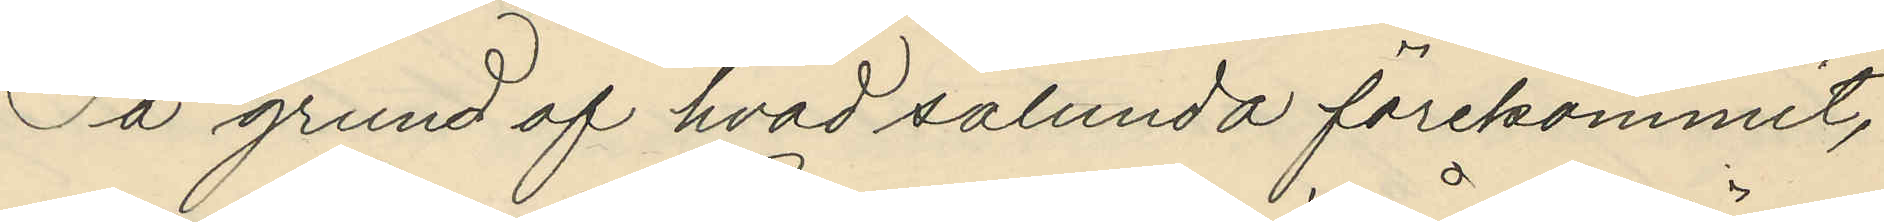På grund af hvad sålunda förekommit,
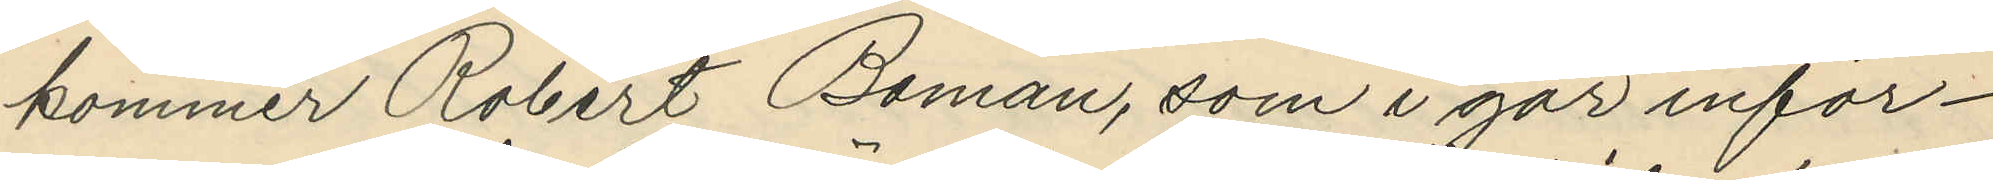kommer Robert Boman, som i går inför¬
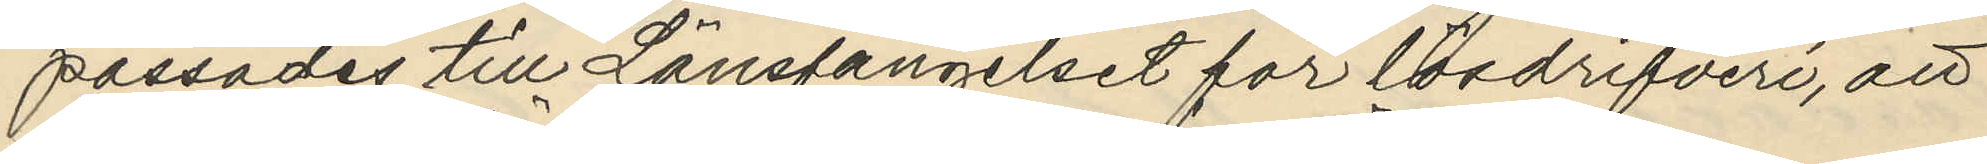passades till Länsfängelset för lösdrifveri, att 
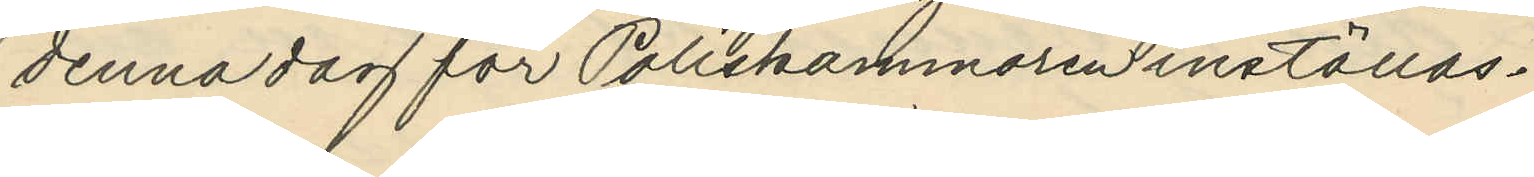denna dag för Poliskammaren inställas.
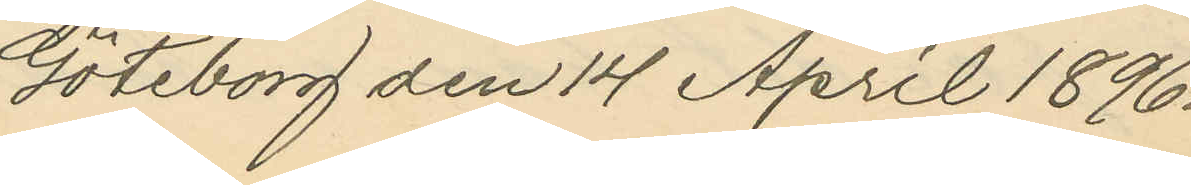Göteborg den 14 April 1896.
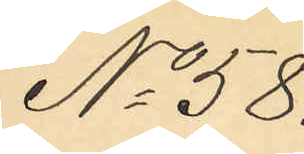No 58.
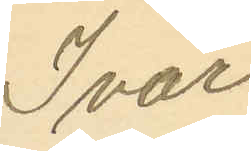Ivar
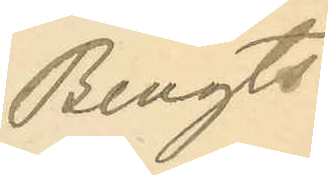Bengts¬
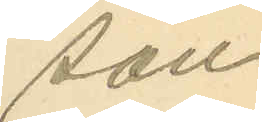son
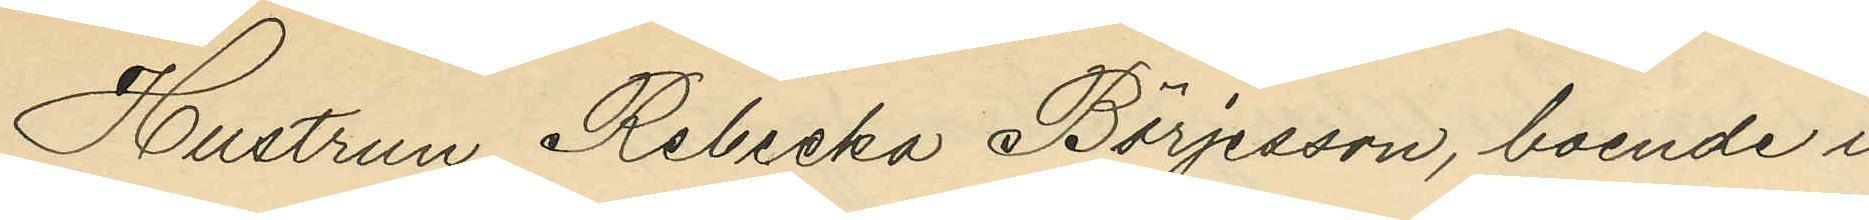Hustrun Rebecka Börjesson, boende i
